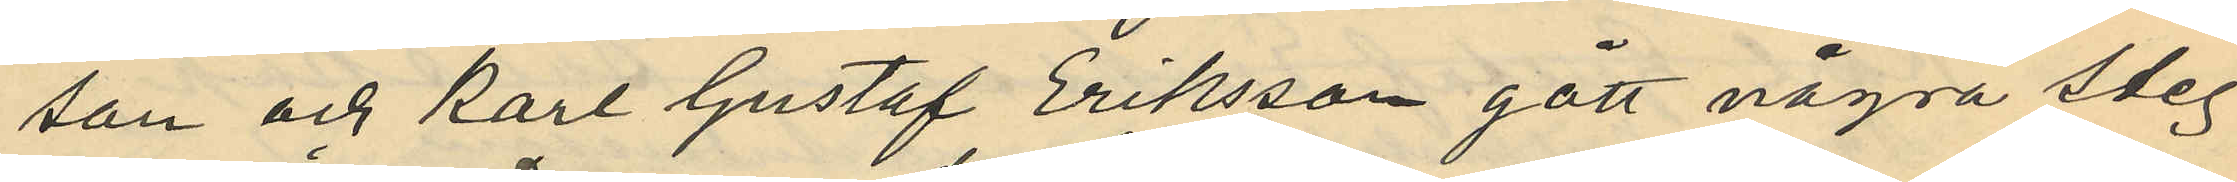son och Karl Gustaf Eriksson gått några steg
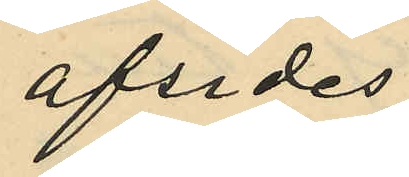afsides
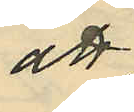att
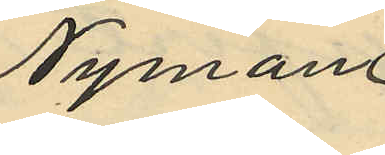Nyman
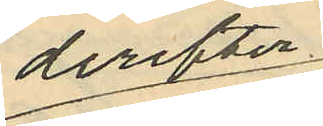derefter
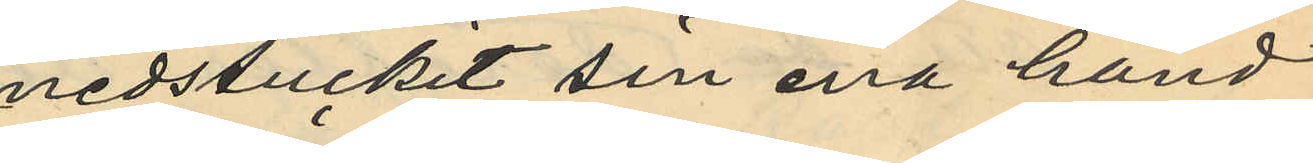nedstuckit sin ena hand
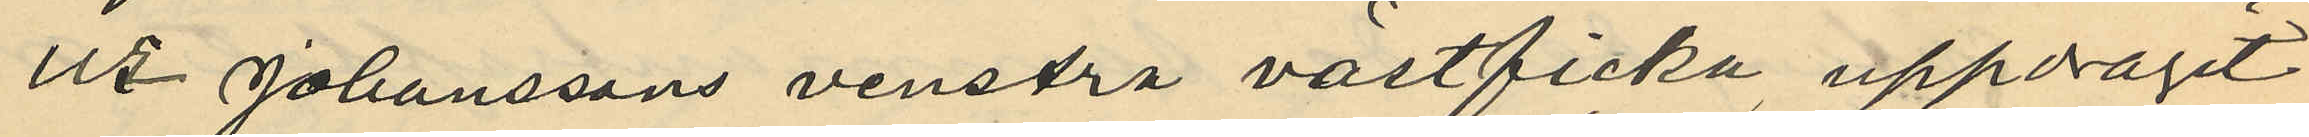ur Johanssons venstra västficka uppdraget
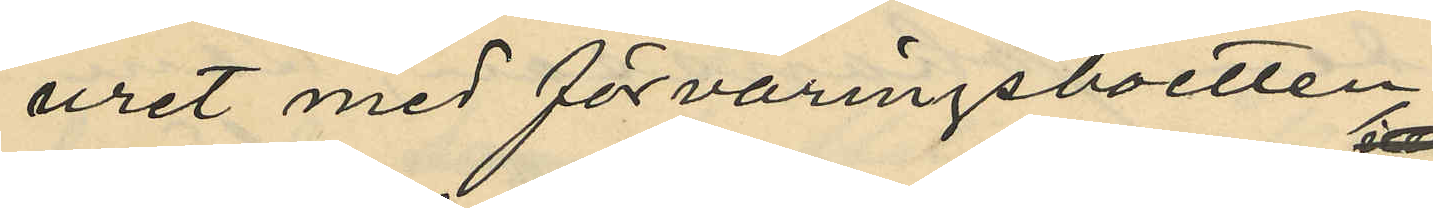uret med förvaringsboetten
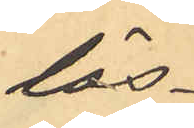lös¬
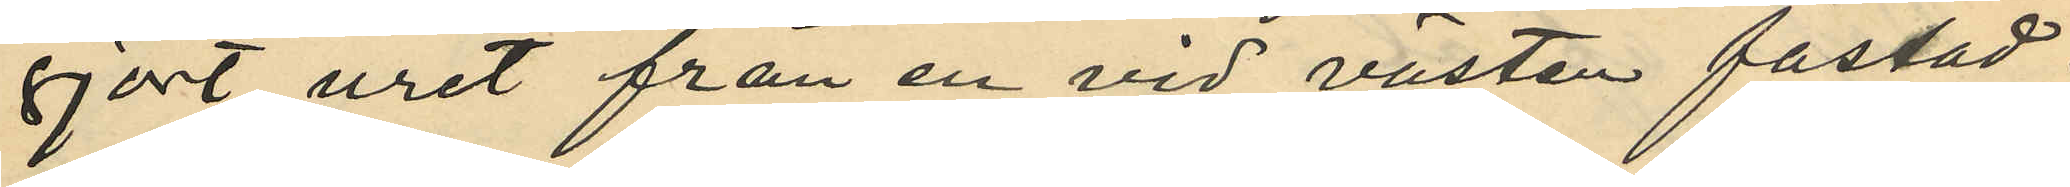gjort uret från en vid västen fästad
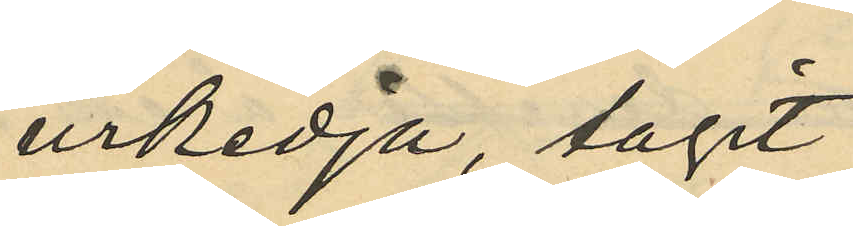urkedja, tagit
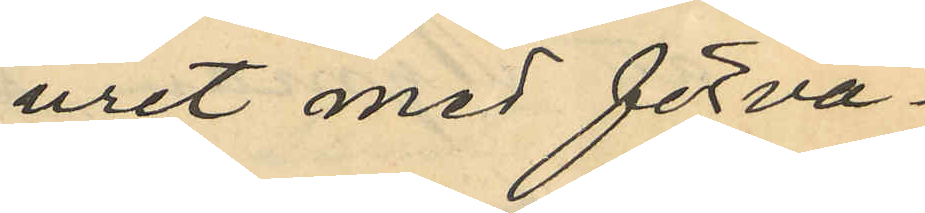uret med förva¬
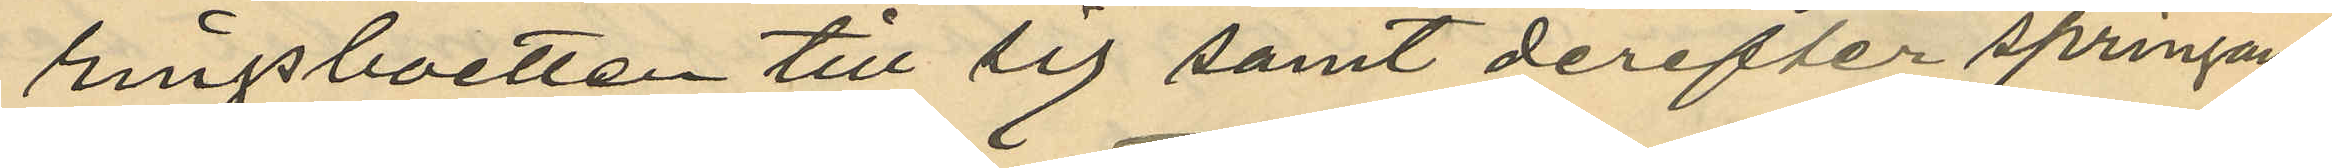ringsboetten till sig samt derefter springande
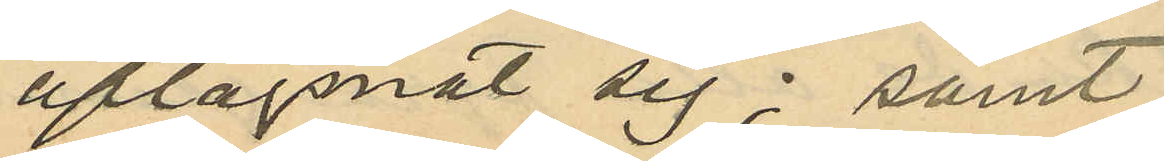aflägsnat sig; samt
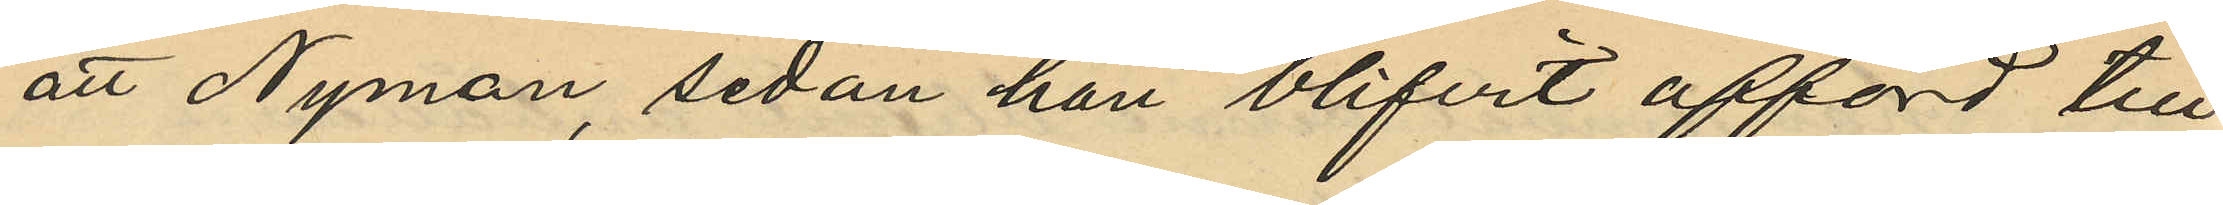att Nyman, sedan han blifvit afförd till
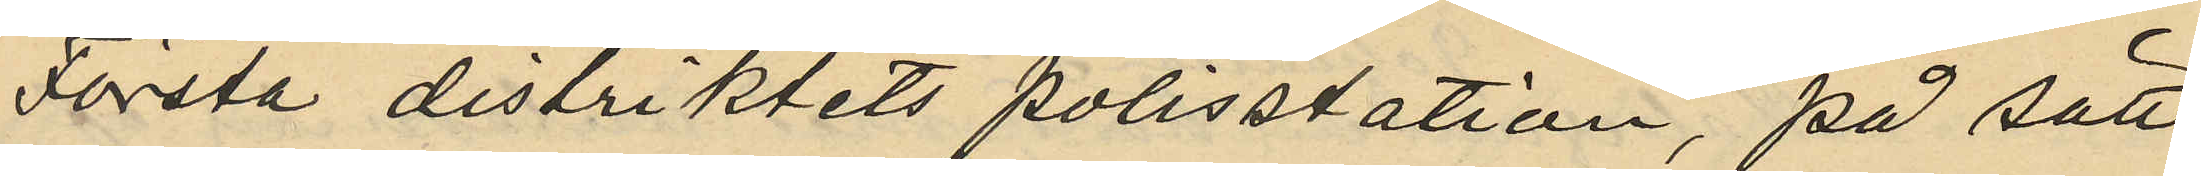Första distriktets polisstation, på sätt
